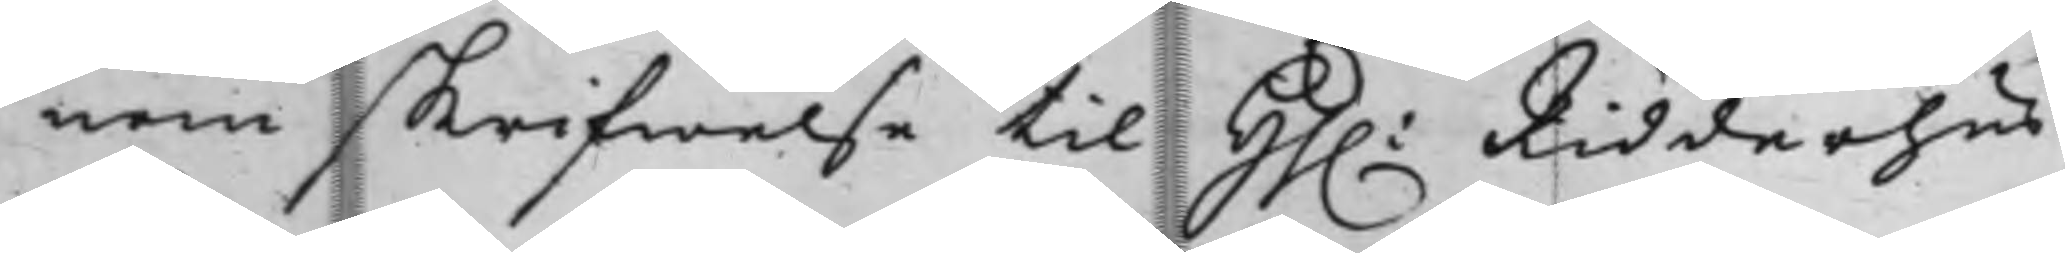nom skrifwelse til Hh. Riddarhus¬
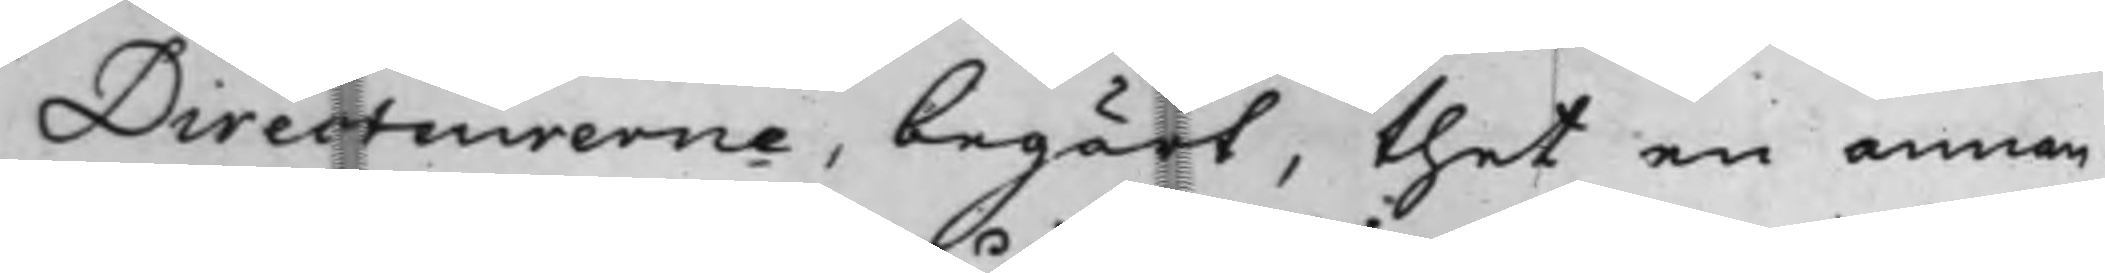Directeurerne, begärt, thet en annan
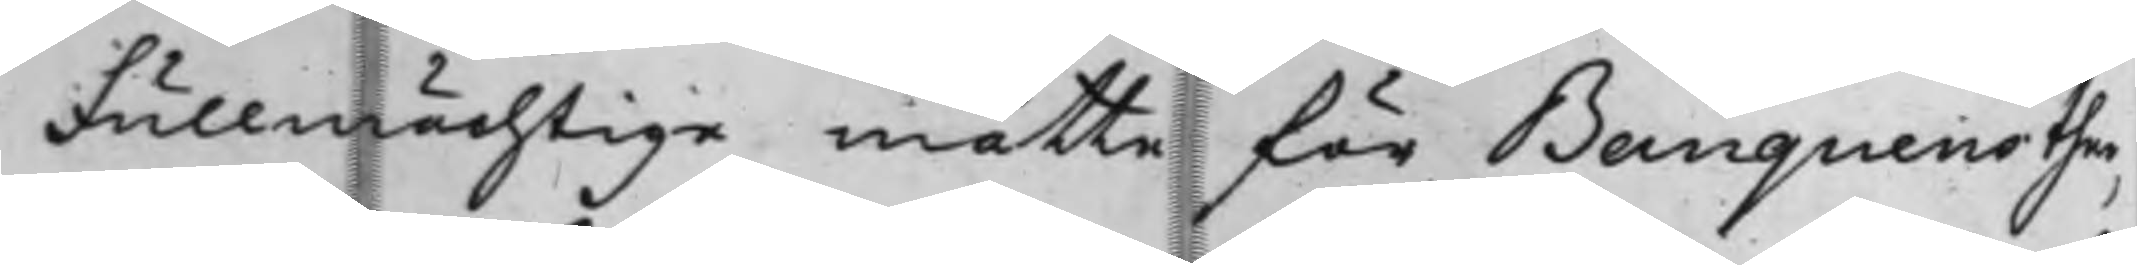Fullmächtige måtte för Banquens ther¬
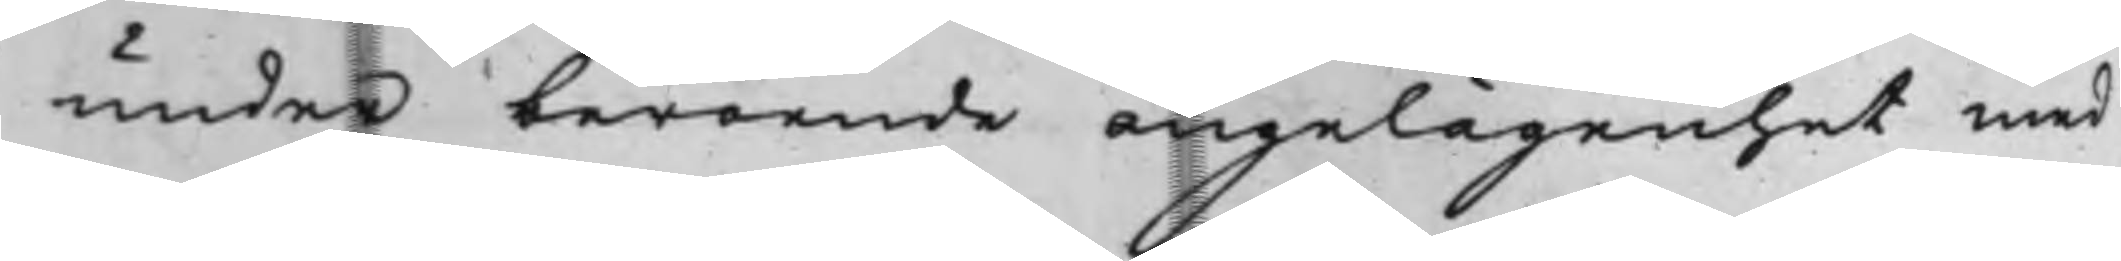under beroende angelägenhet med
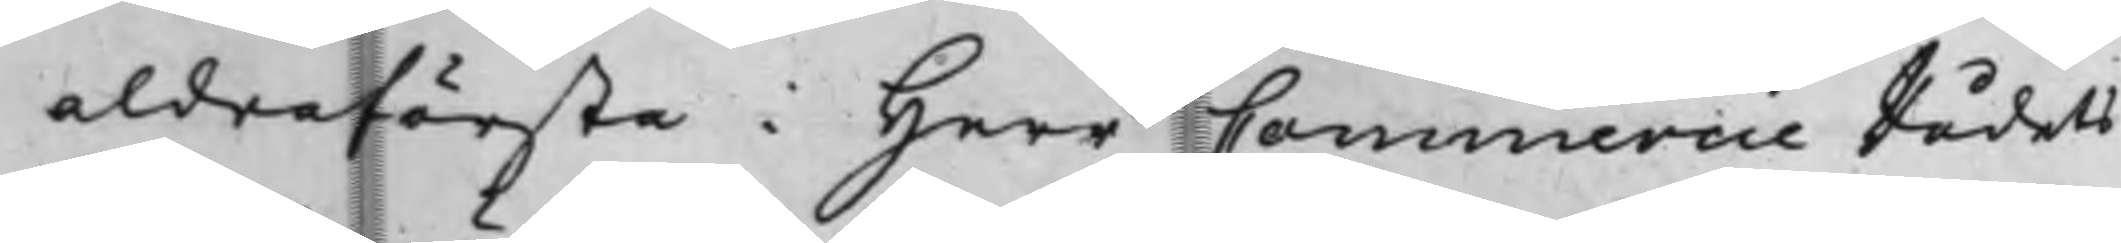aldraförsta i Herr CommercieRådets
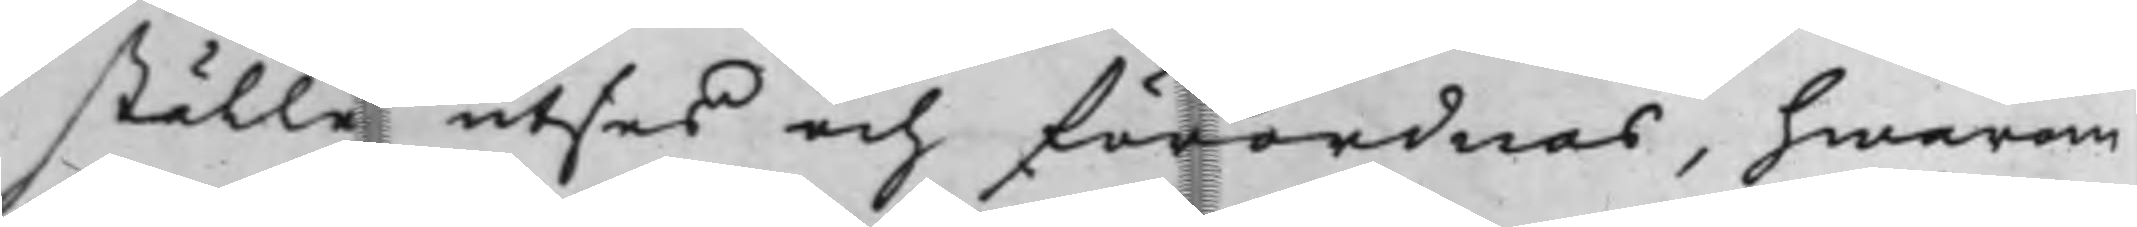ställe utses och förordnas, hwarom
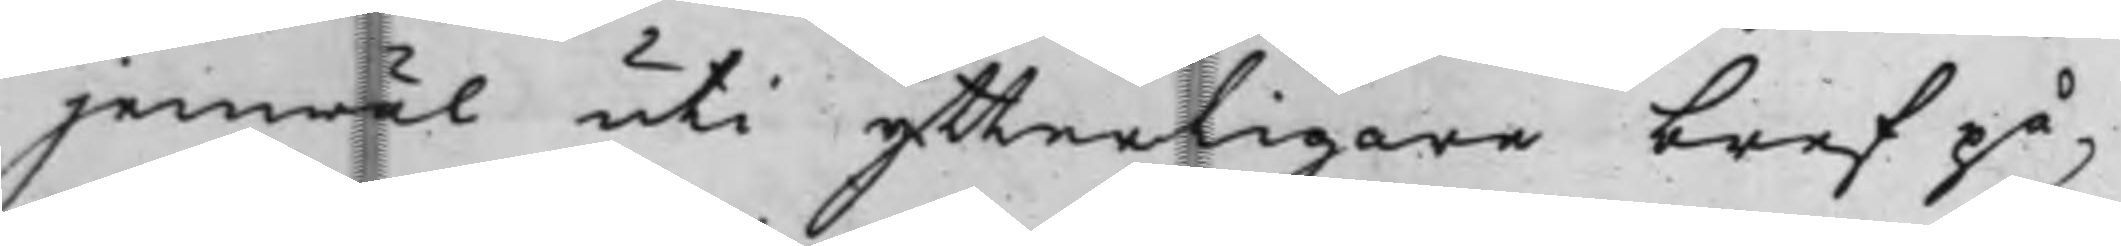jemwäl uti ytterligare bref på¬
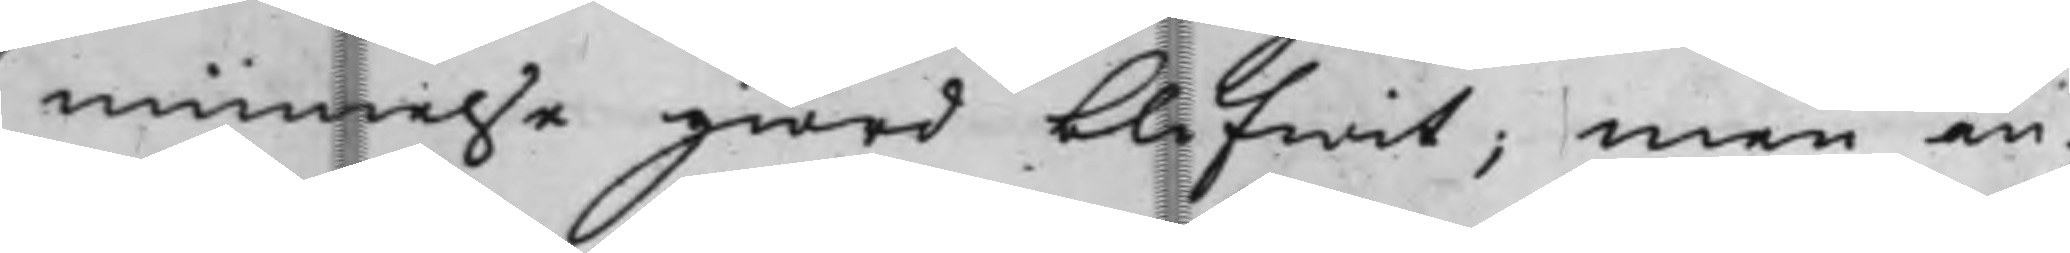minnelse giord blifwit; Men än¬
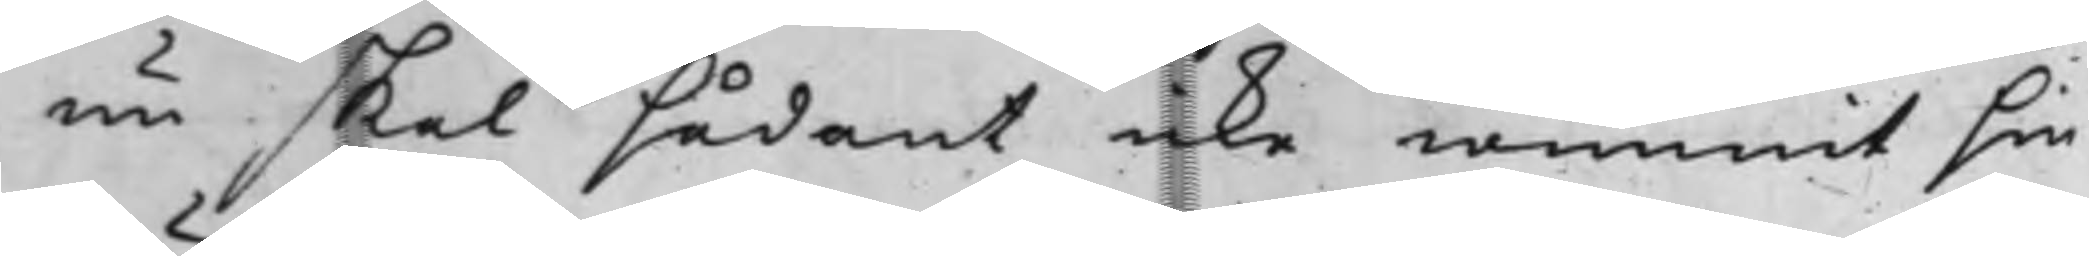nu skal sådant icke wunnit sin
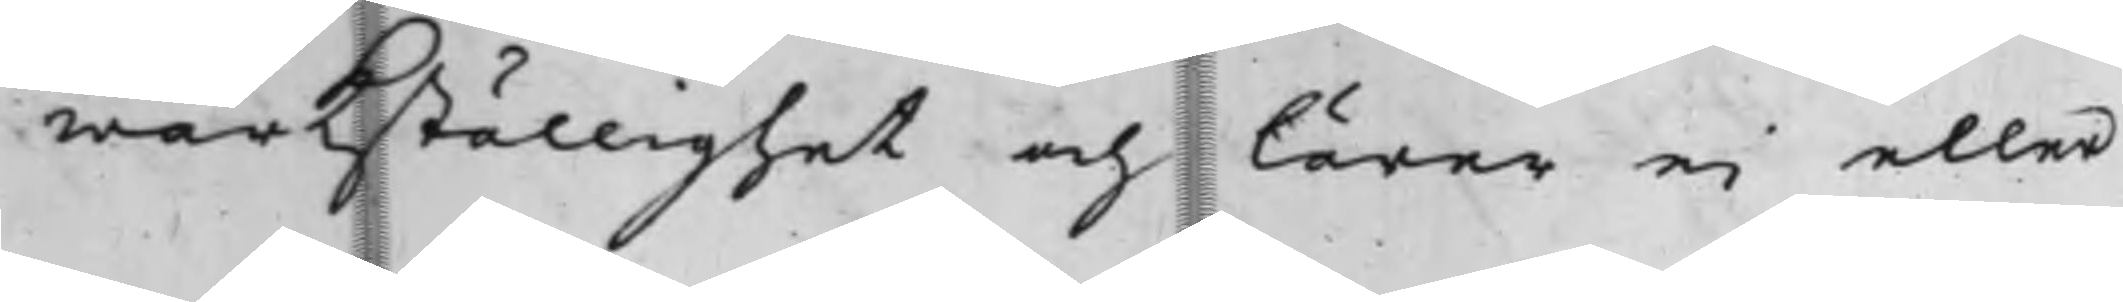wärkställighet och lärer ei eller
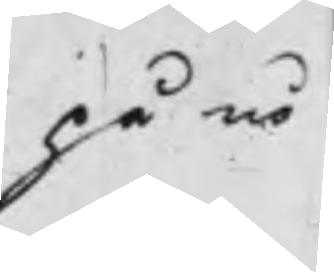på nå¬
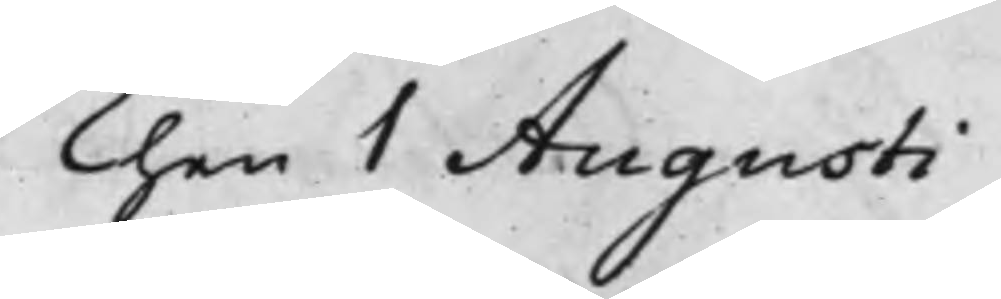Then 1 Augusti
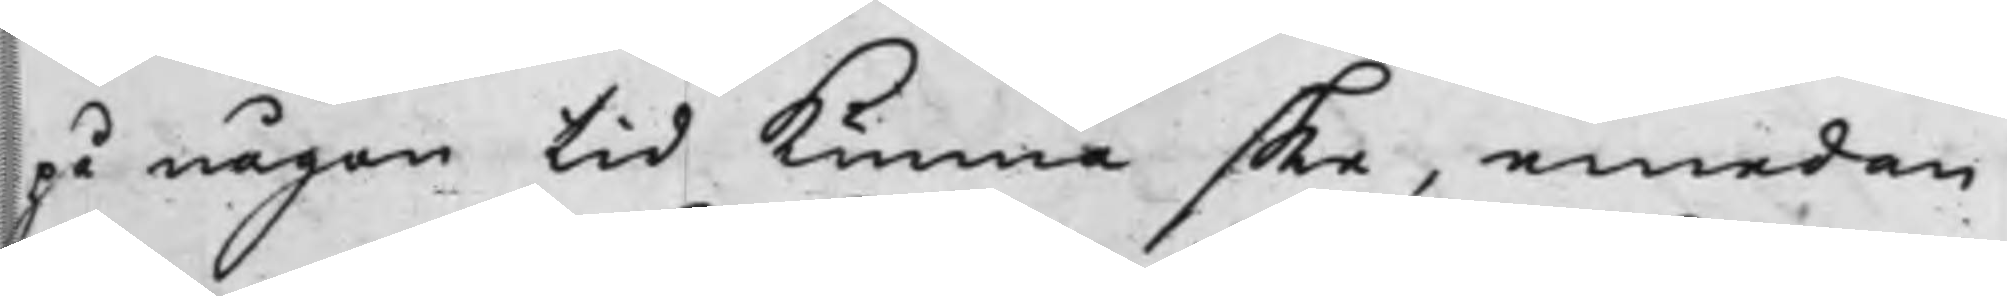på någon tid Kunna ske, emedan
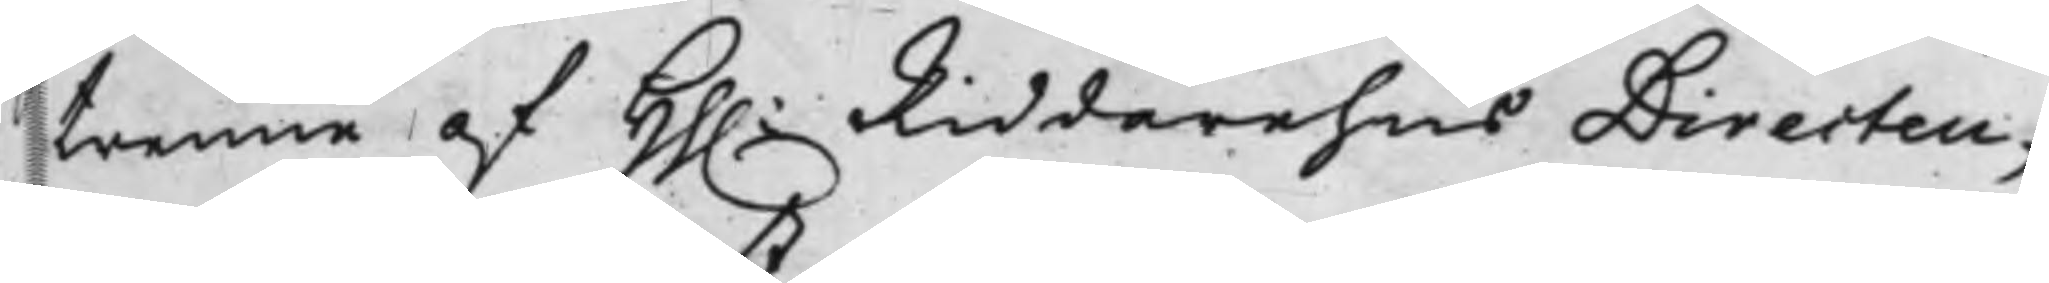trenne af Hh. RiddarehusDirecteu¬
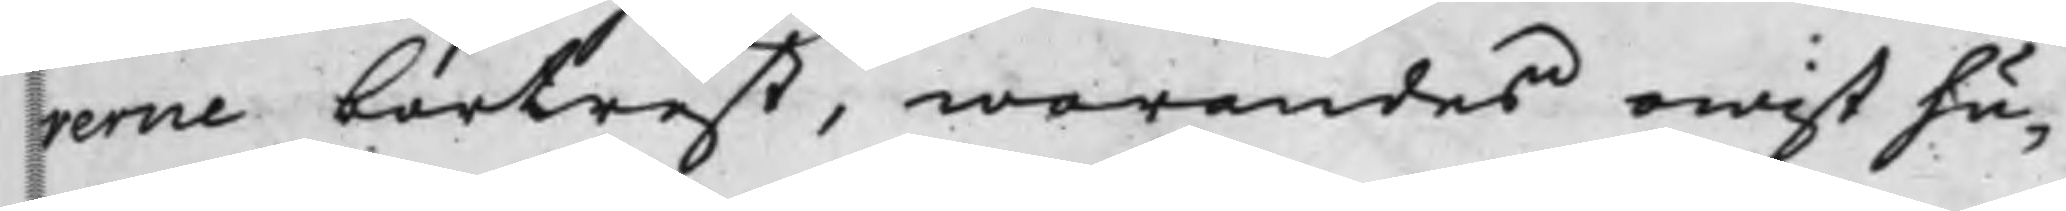rerne bortrest, warandes owist hu¬
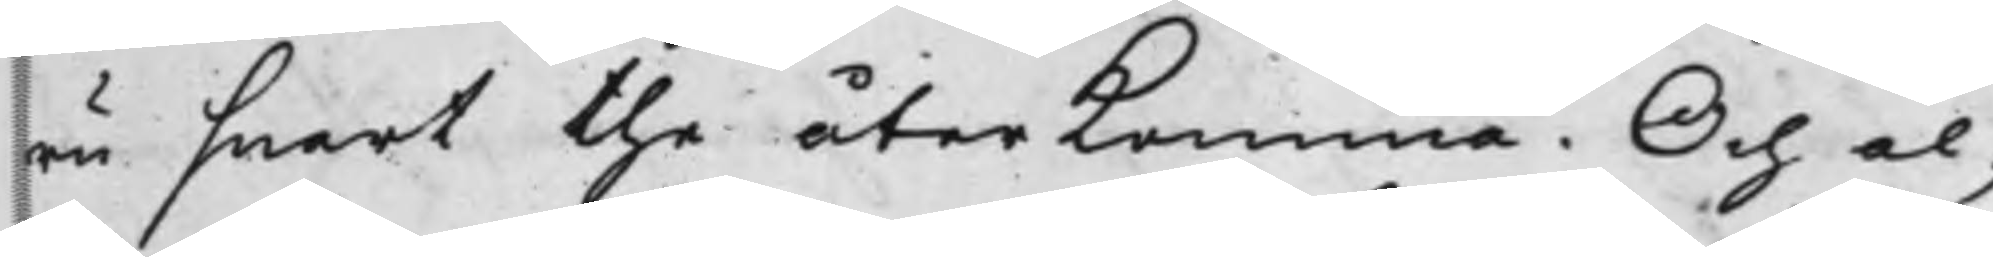ru snart the återkomma. Och al¬
